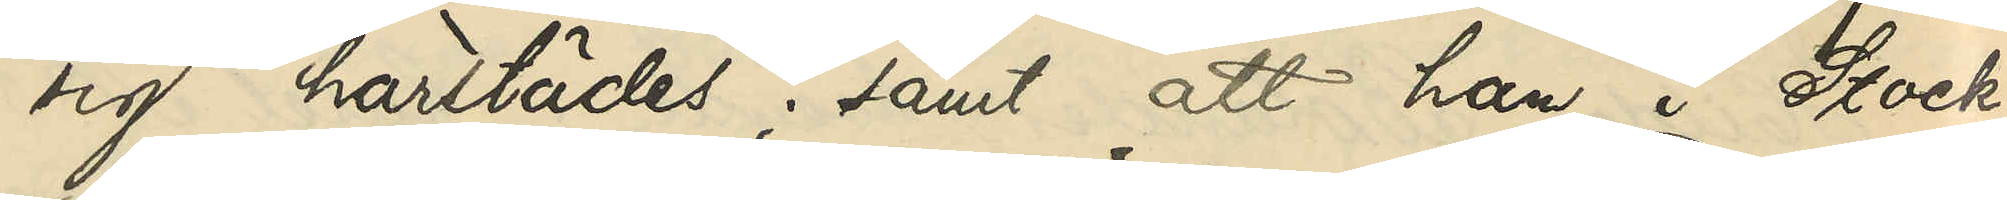sig härstädes; samt att han i Stock¬
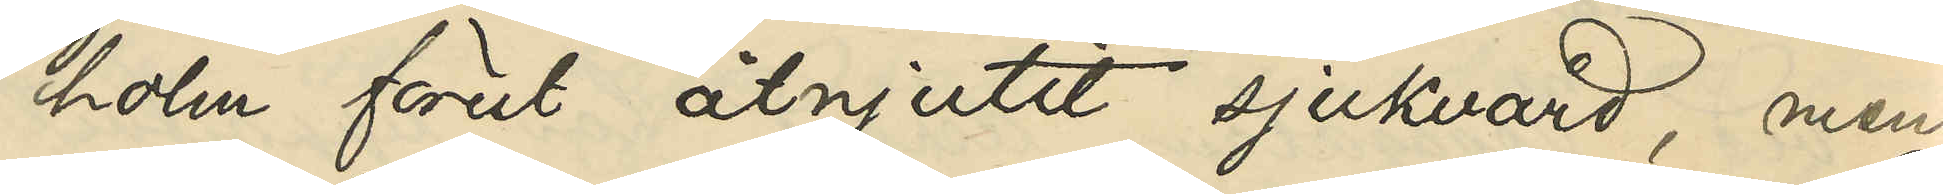holm förut åtnjutit sjukvård, men
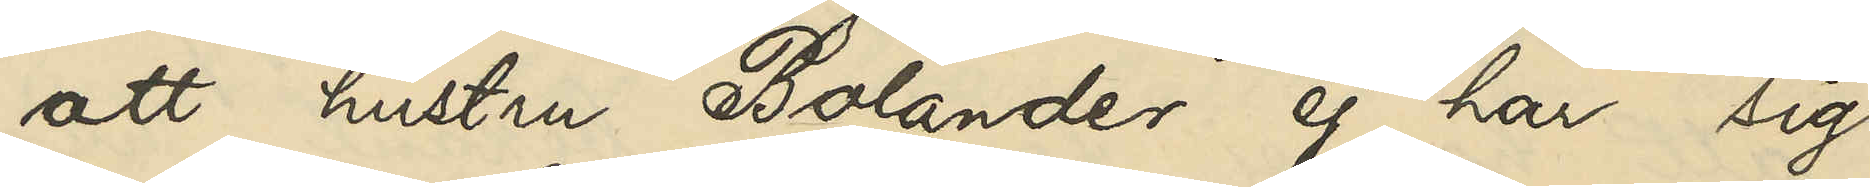att hustru Bolander ej har sig
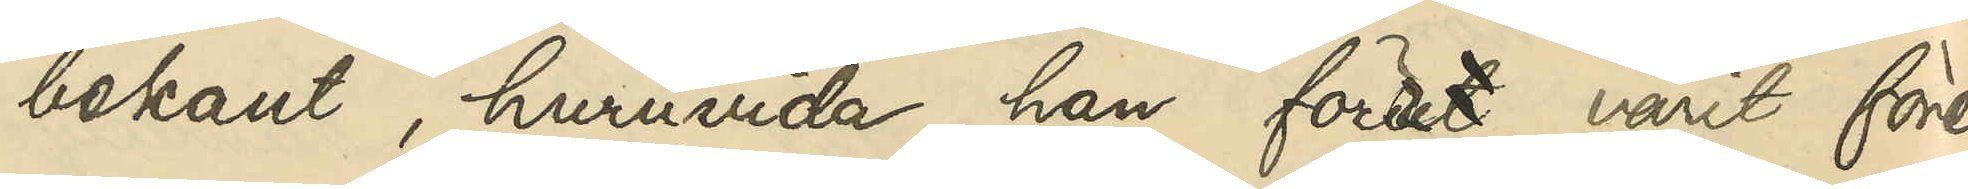bekant, huruvida han först varit före¬
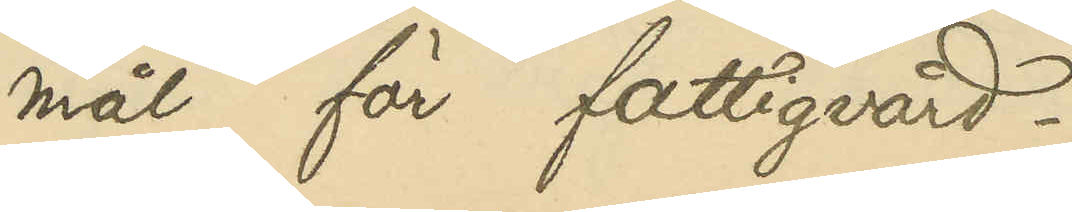mål för fattigvård.
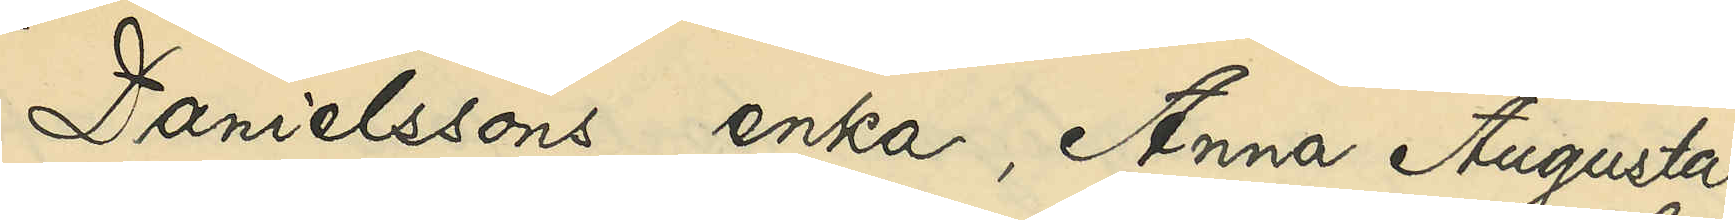Danielssons enka, Anna Augusta
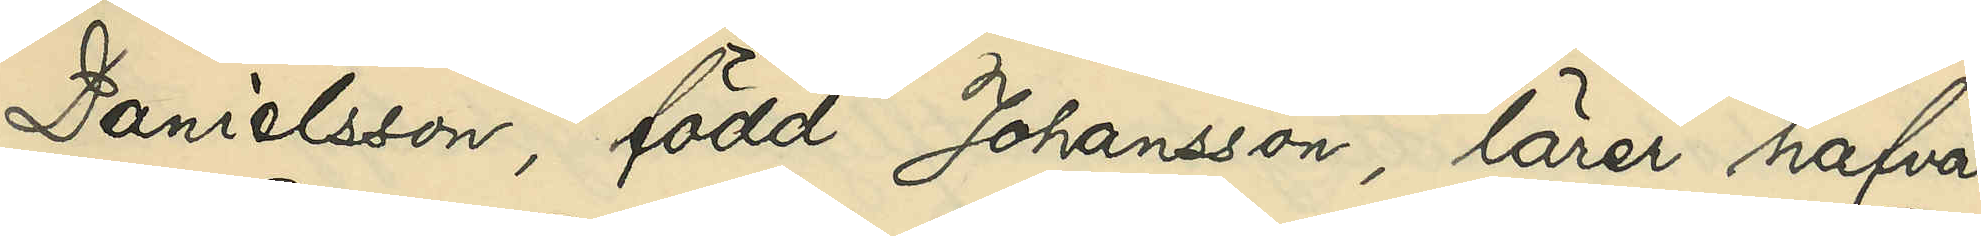Danielsson, född Johansson, lärer hafva
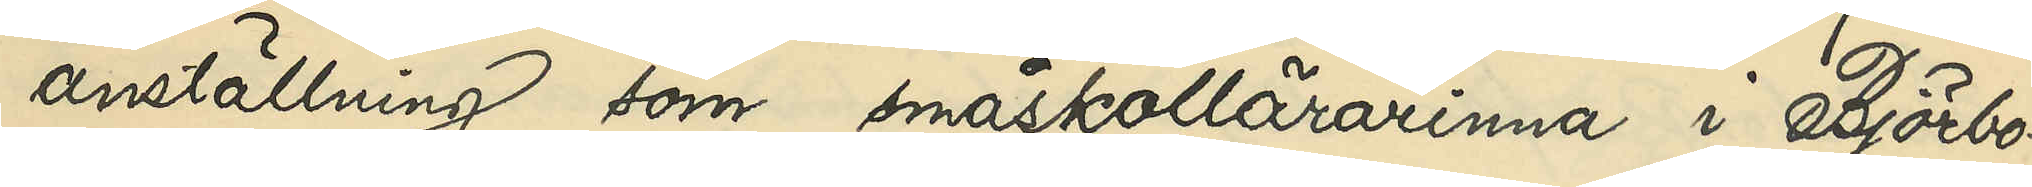anställning som småskollärarinna i Björbo¬
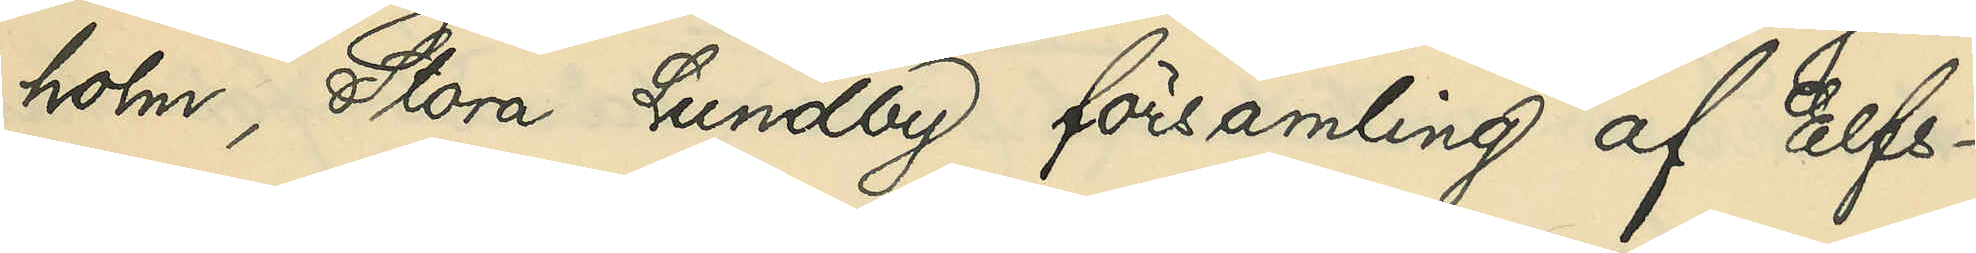holm, Stora Lundby församling af Elfs¬
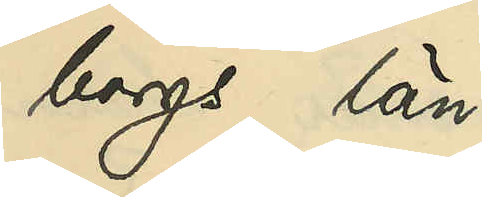borgs län.
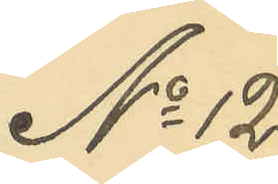No 12
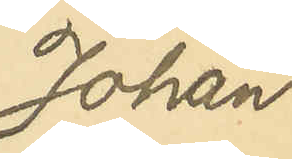Johan 
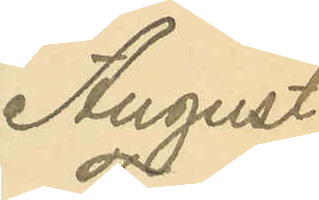August
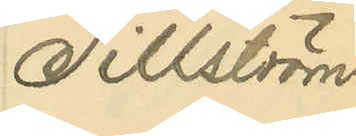Tillström
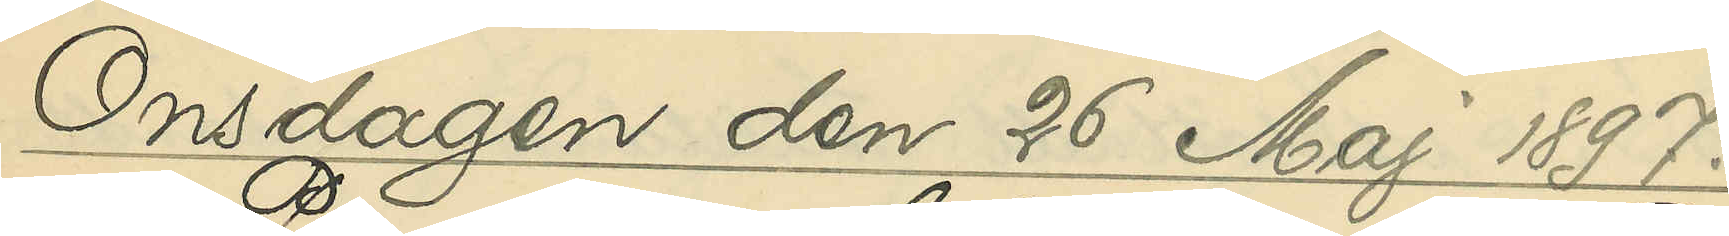Onsdagen den 26 Maj 1897.
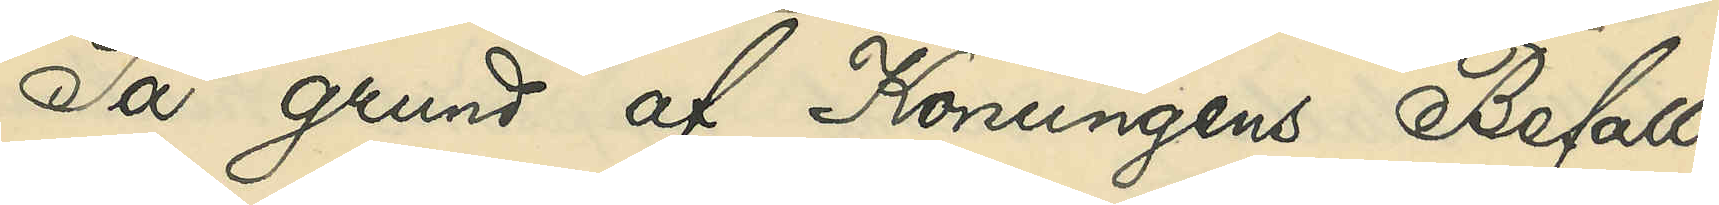På grund af Konungens Befall¬
